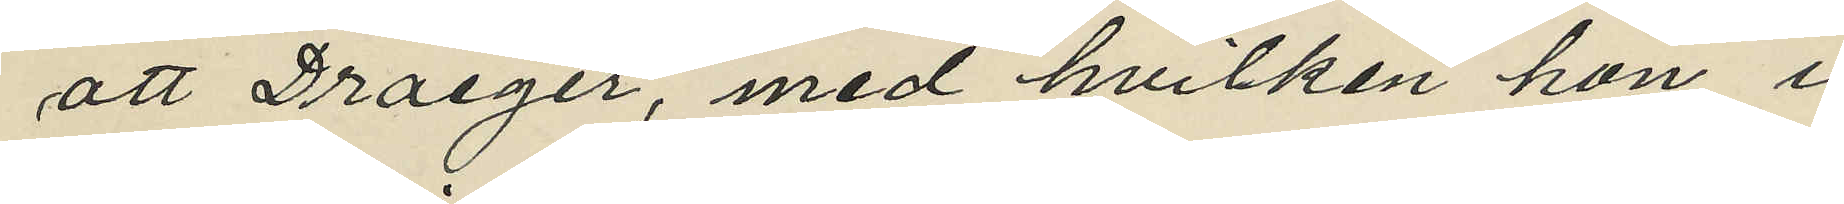att Draeger, med hvilken hon i
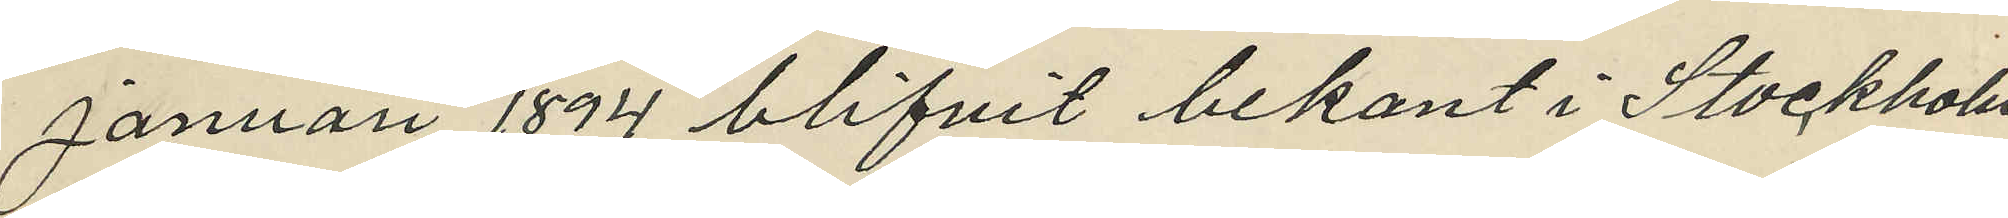Januari 1894 blifvit bekant i Stockholm
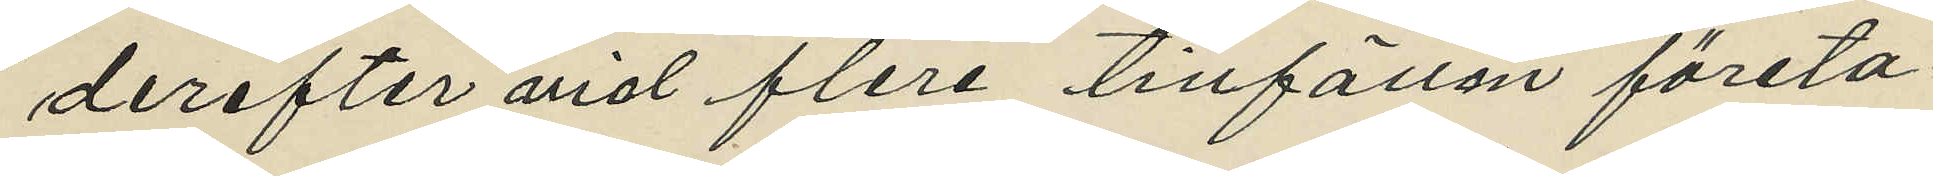derefter vid flera tillfällen företa¬
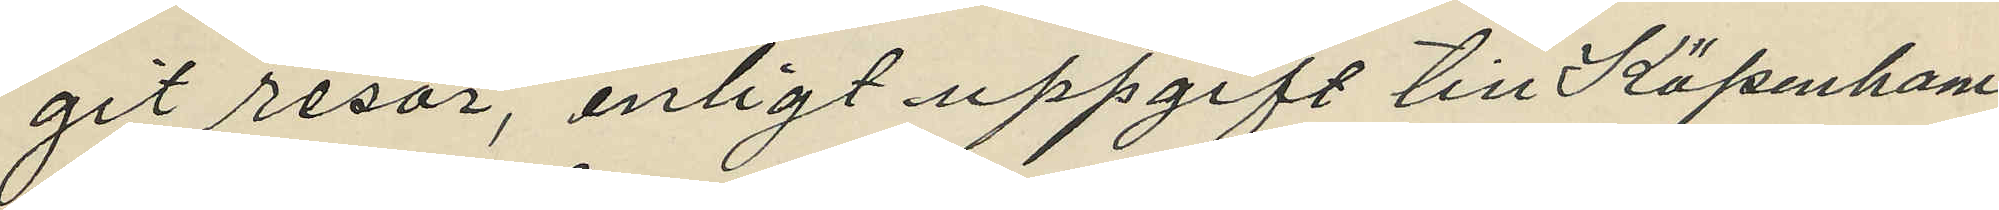git resor, enligt uppgift till Köpenhamn
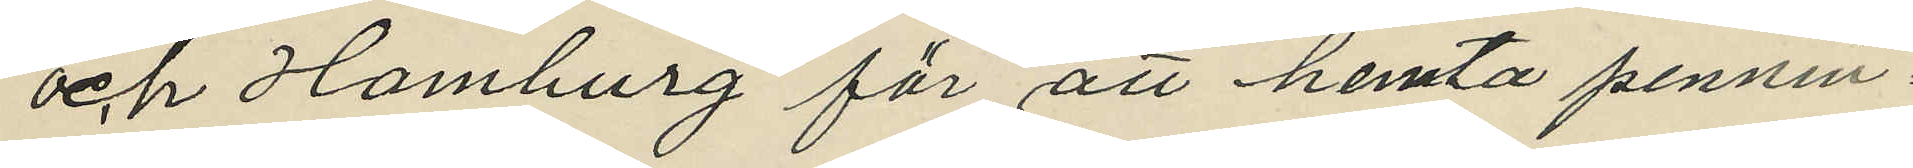och Hamburg för att hemta pennin¬
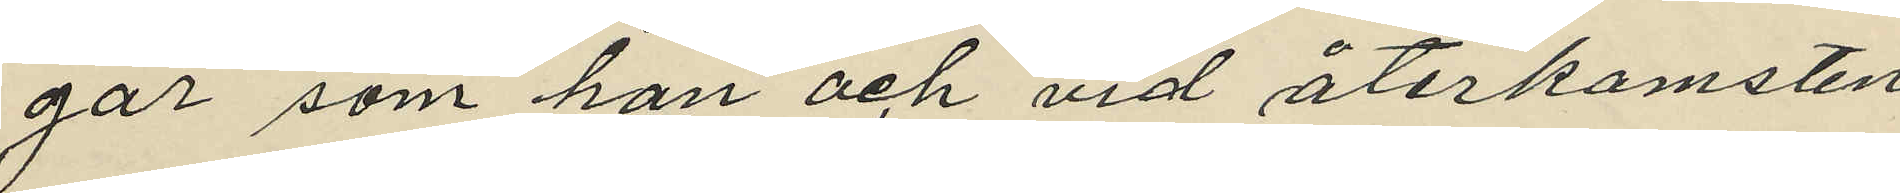gar som han och vid återkomsten
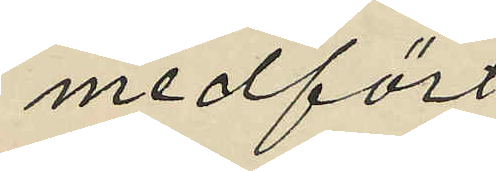medfört,
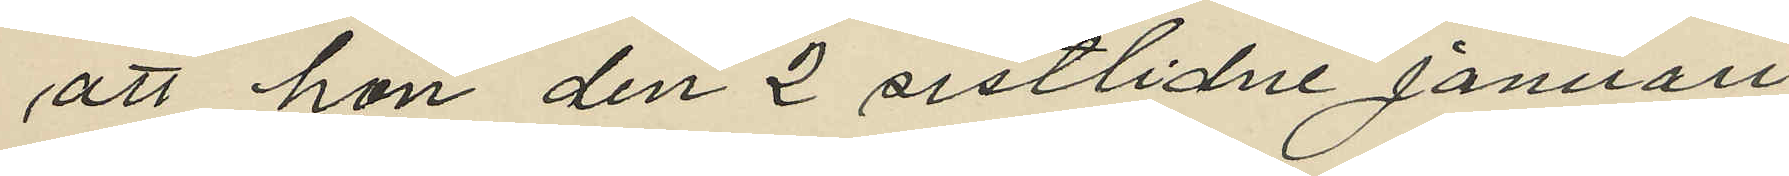att hon den 2 sistlidne Januari
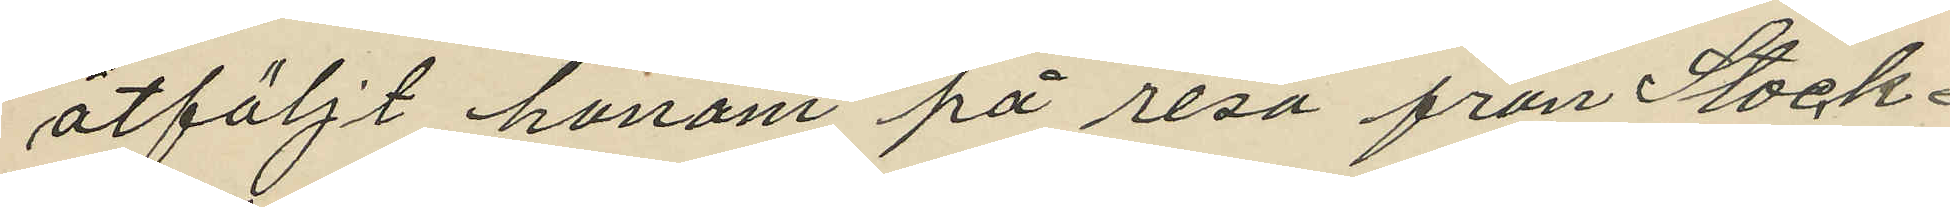åtföljt honom på resa från Stock¬
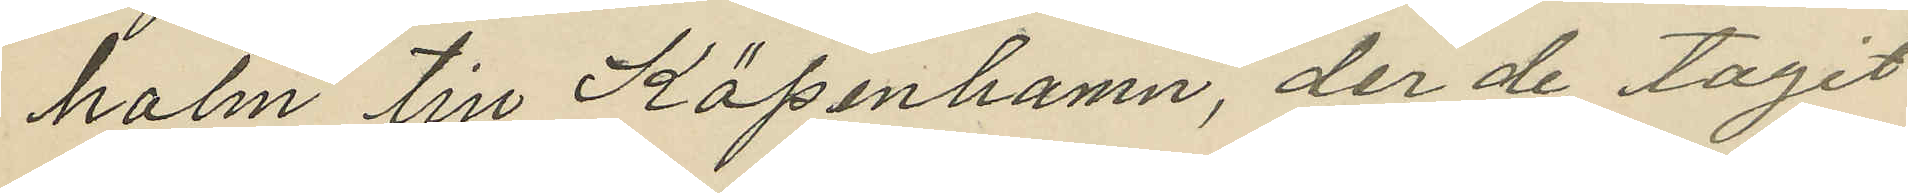holm till Köpenhamn, der de tagit
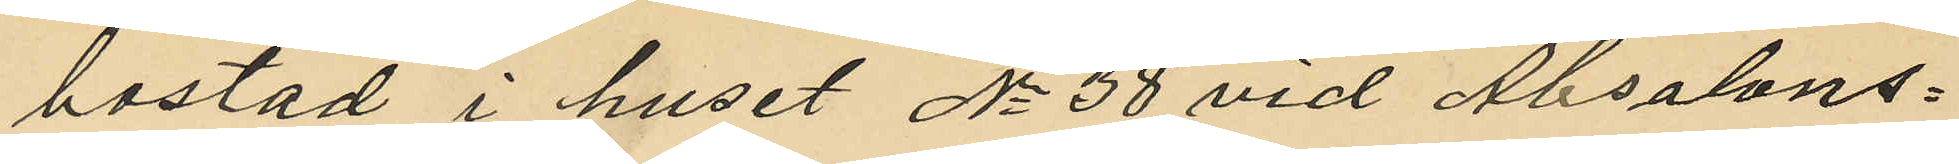bostad i huset No 38 vid Absalons¬
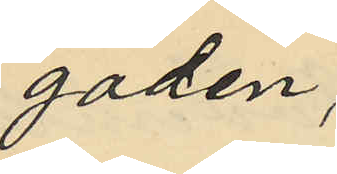gaden;
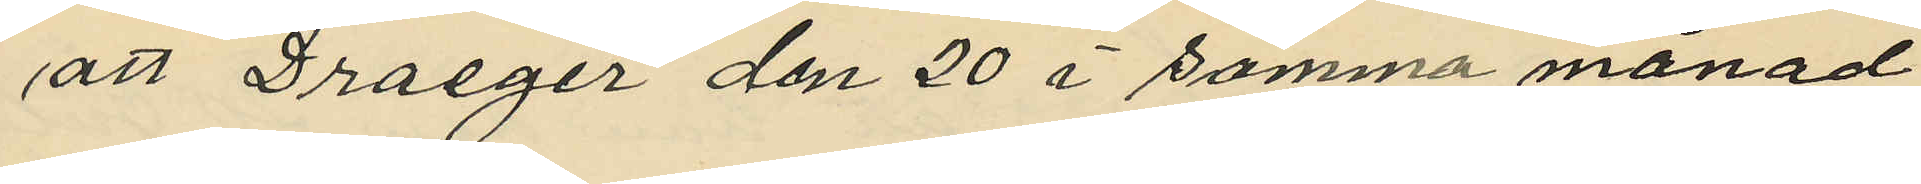att Draeger den 20 i samma månad
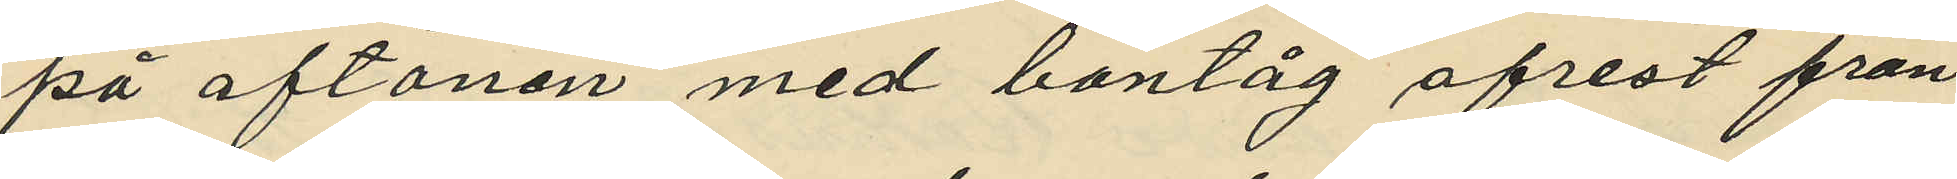på aftonen med bantåg afrest från
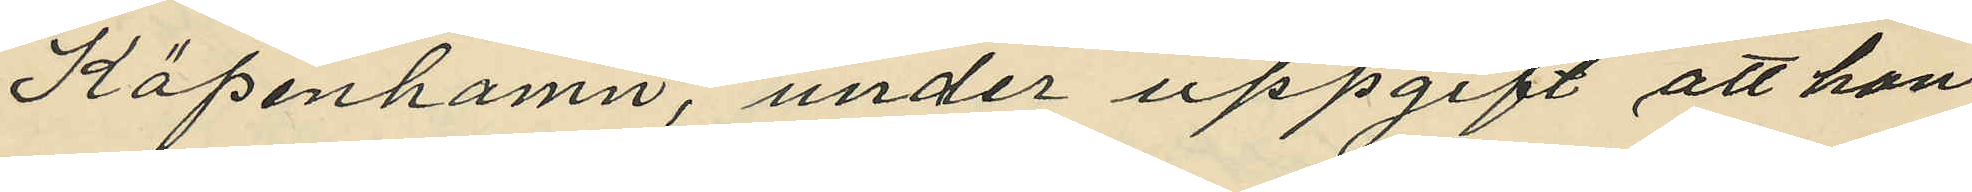Köpenhamn, under uppgift att han
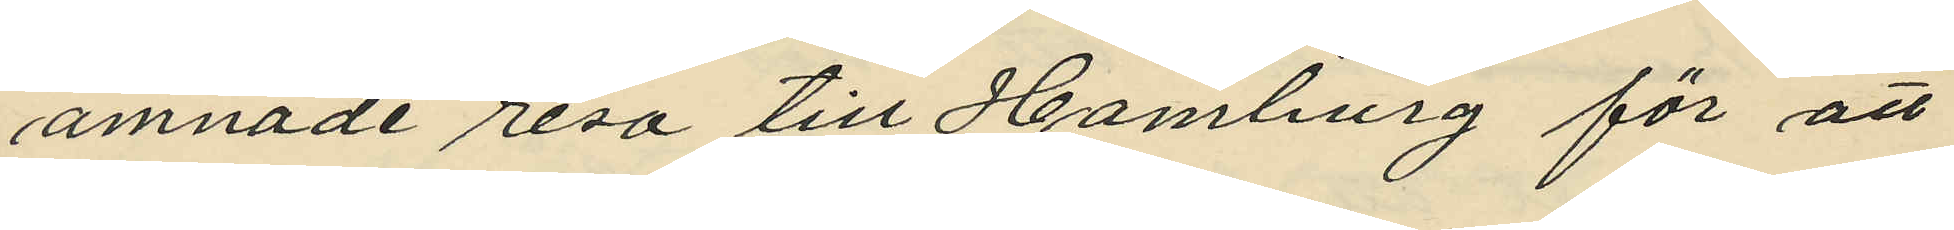ämnade resa till Hamburg för att
